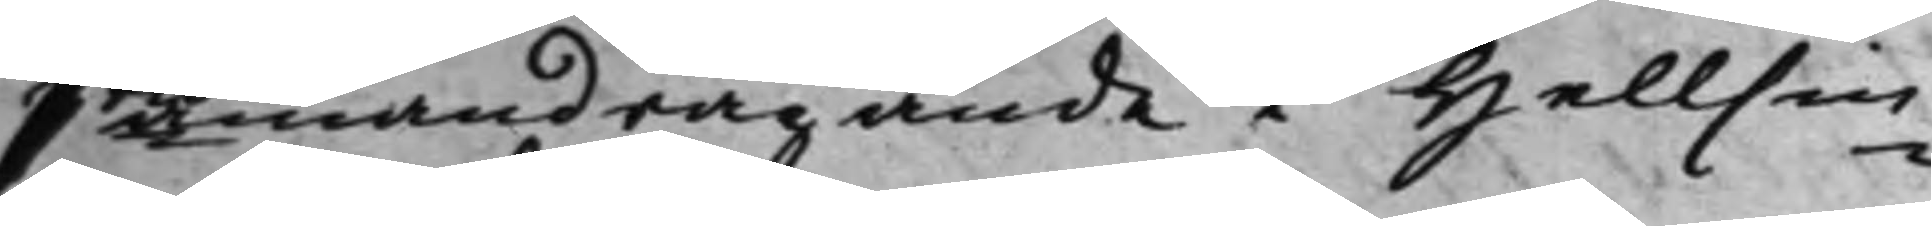3 Sammandragande i Hellsin¬
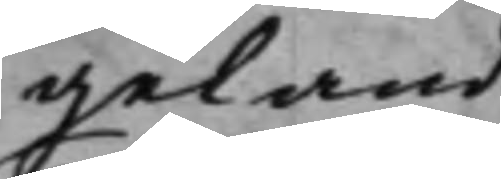geland.
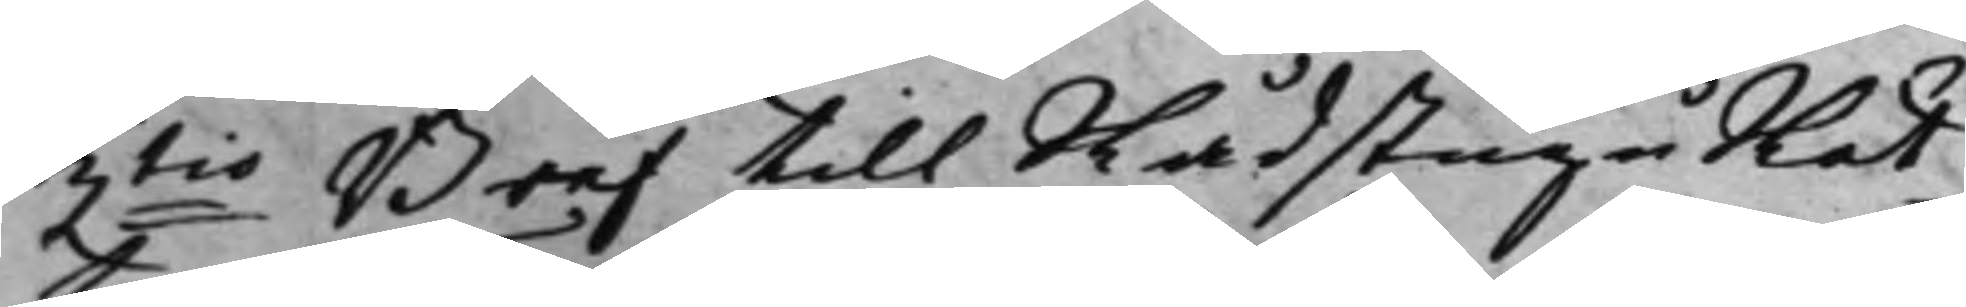3tio Bref till RådstuguRät¬
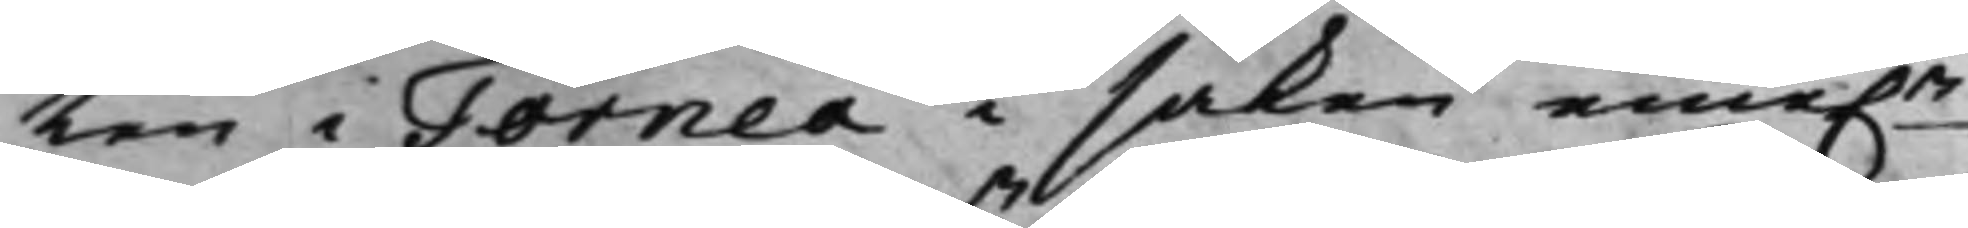ten i Torneå i saken eme.n
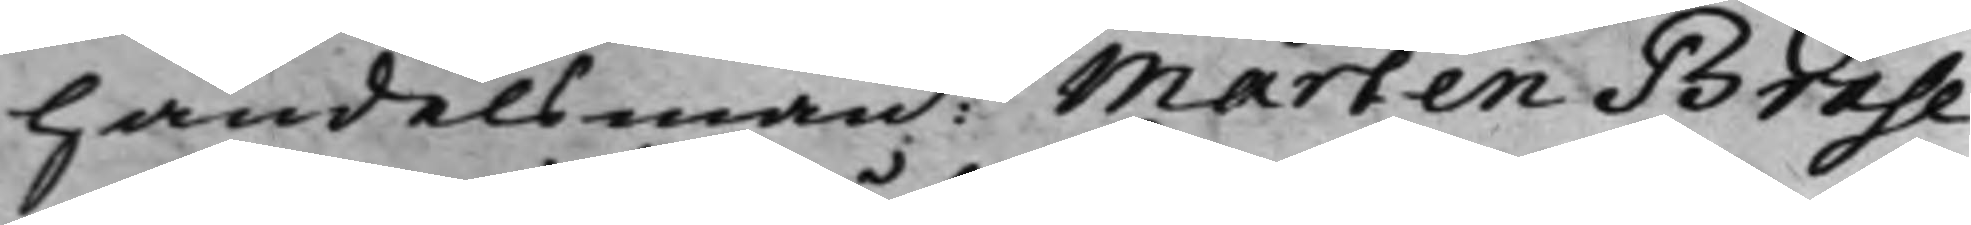handelsmann Mårten Brahe
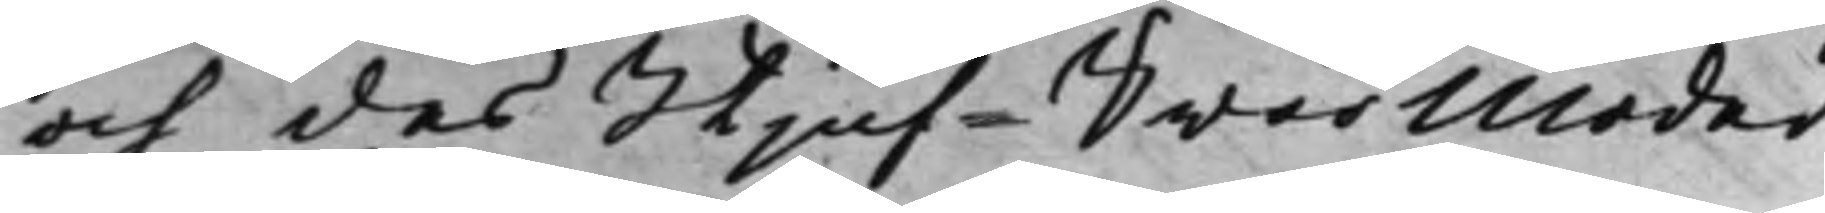och des Stjuf-Swärmoder.
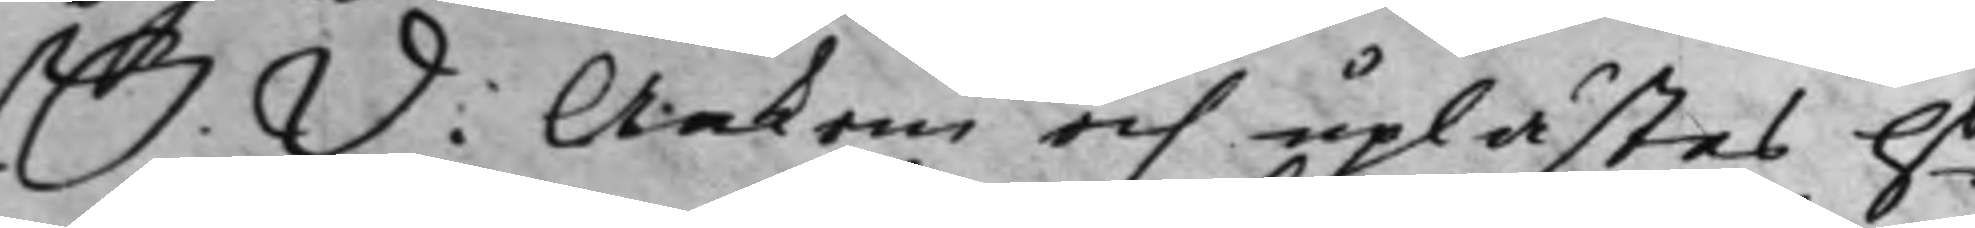S. D. Ankom och uplästes Hs
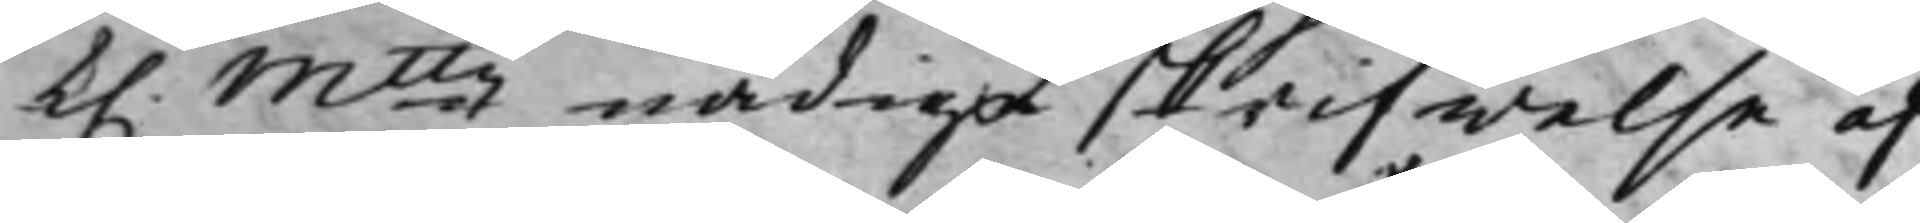K. Mttz nådiga skrifwelse af
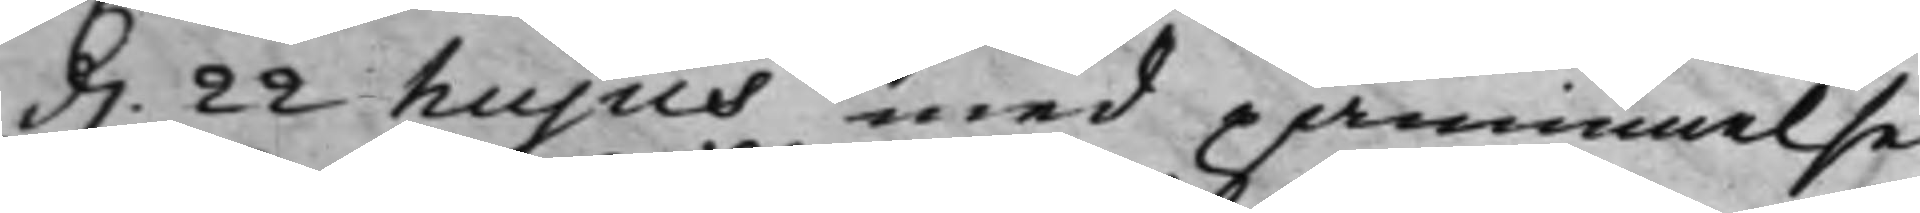d. 22 hujus, med påminnelse
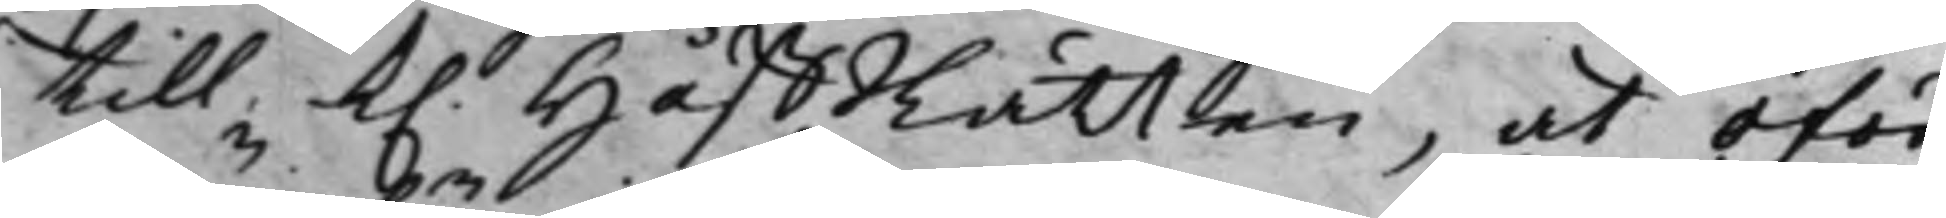till K. HåffRätten, at oför¬
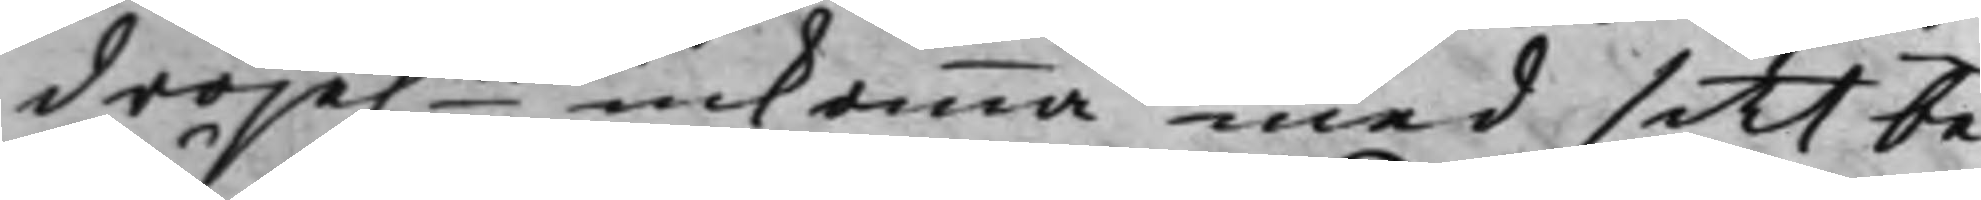dröje:n inkomma med sitt be¬
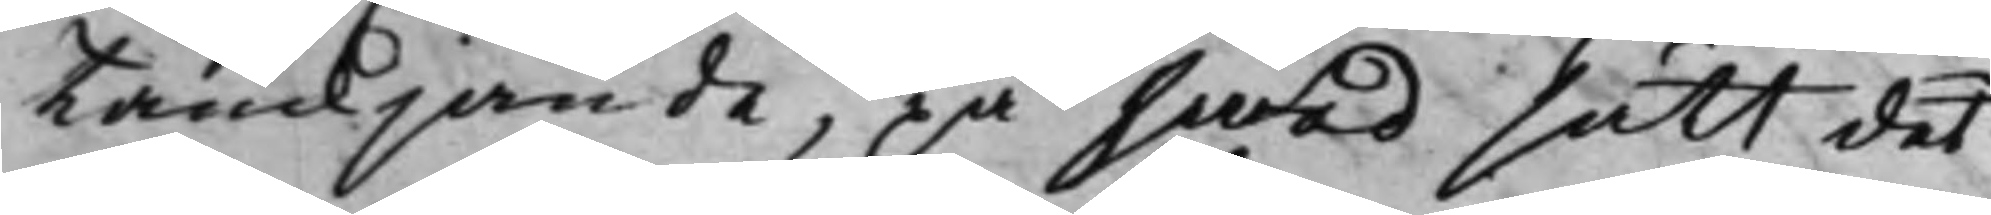tänkjande, på hwad sätt det
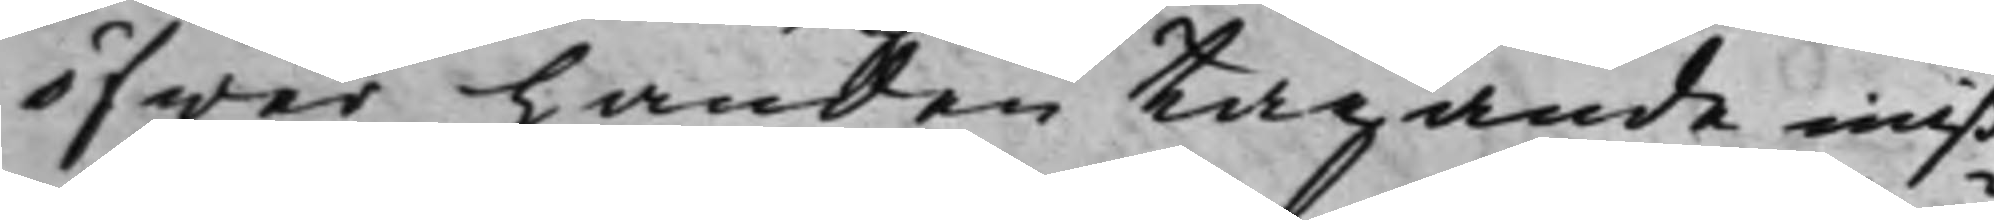öfwer handen tagande miß¬
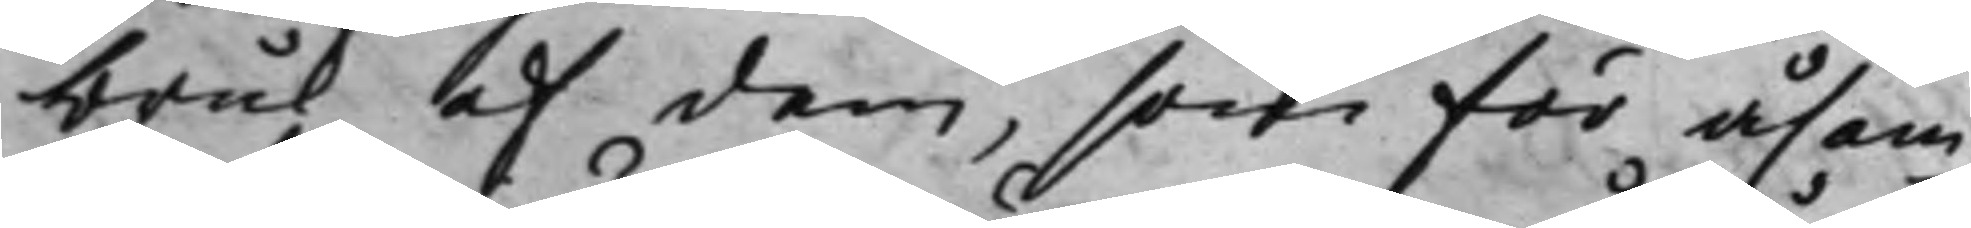bruk af dem, som för åsam¬
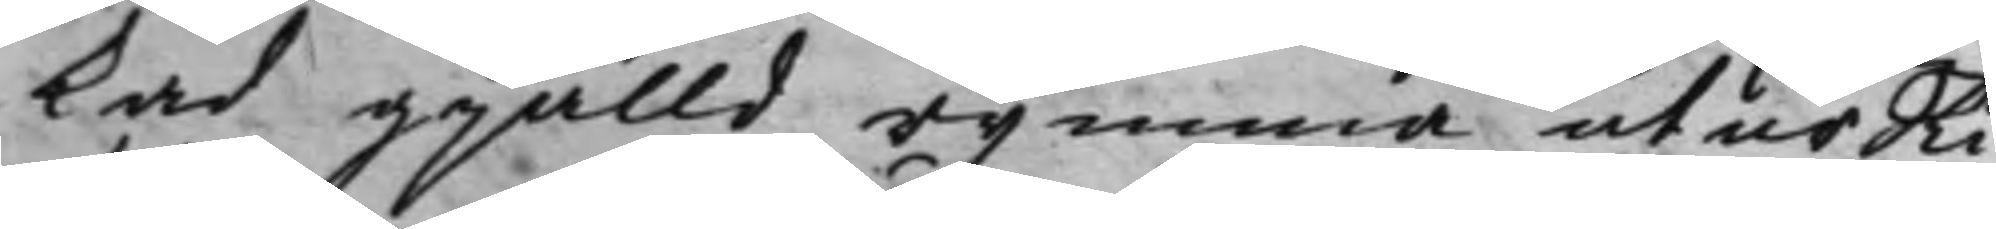kad gjälld rymma utur Ri¬
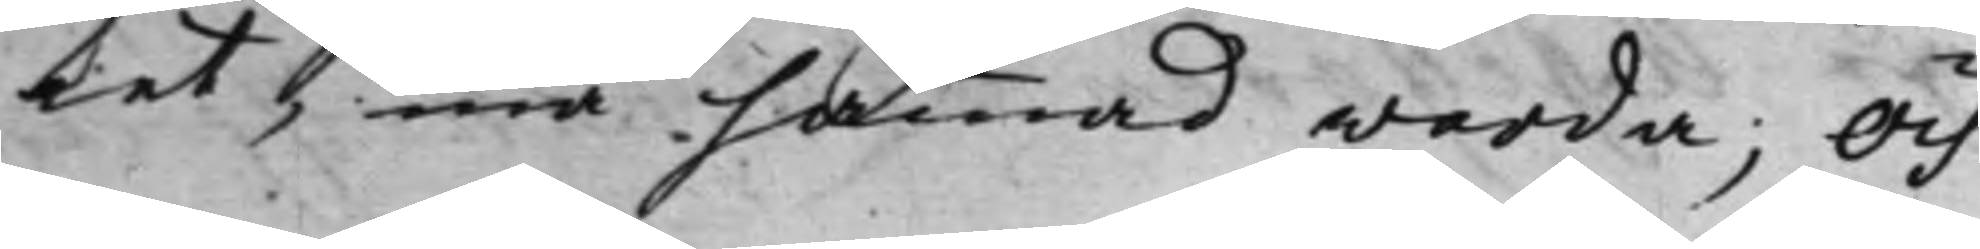ket, må hämmad warda; Och
